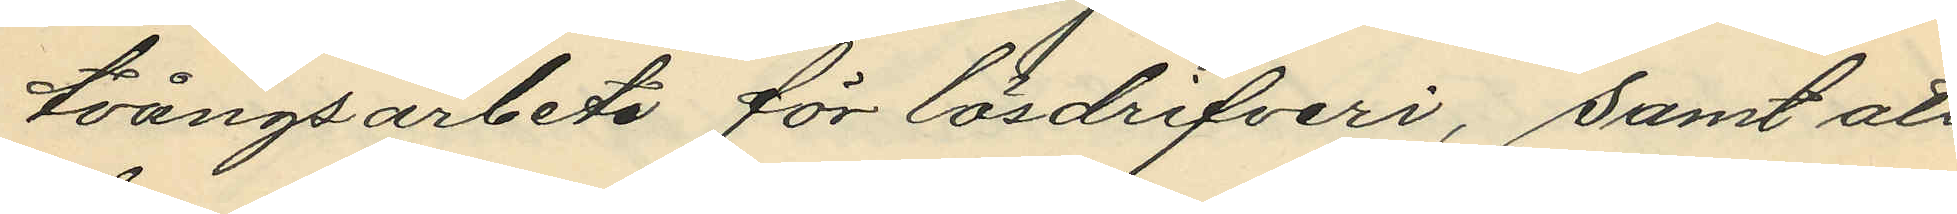tvångsarbete för lösdrifveri, samt att
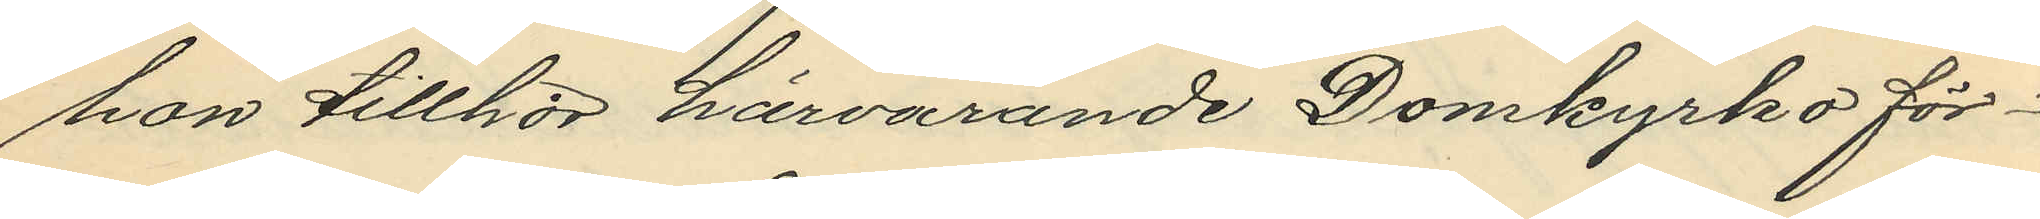hon tillhör härvarande Domkyrkoför¬
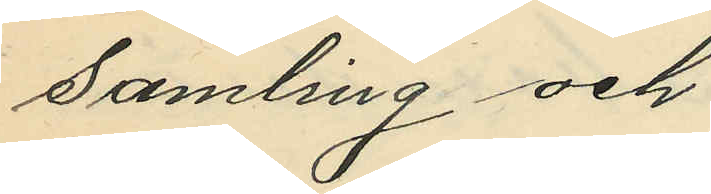samling och
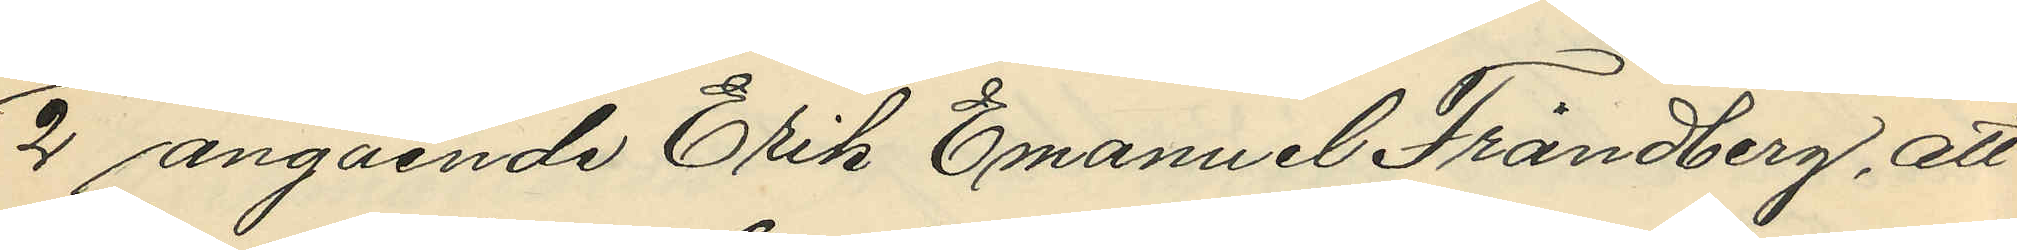2 angående Erik Emanuel Frändberg, att
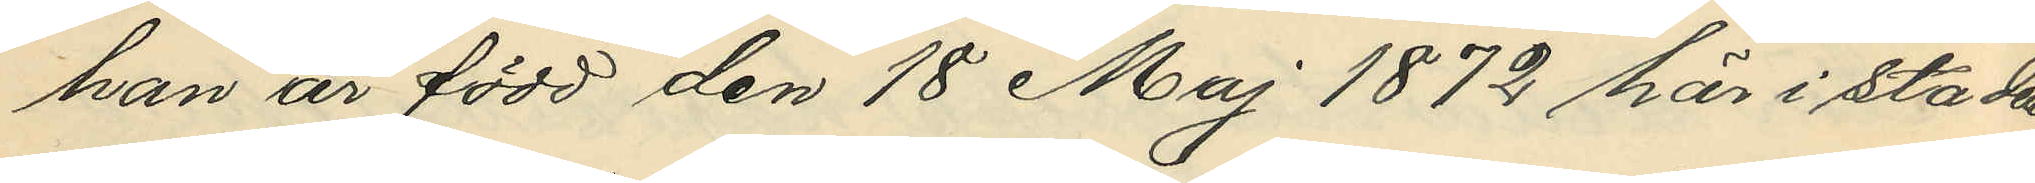han är född den 18 Maj 1872 här i staden
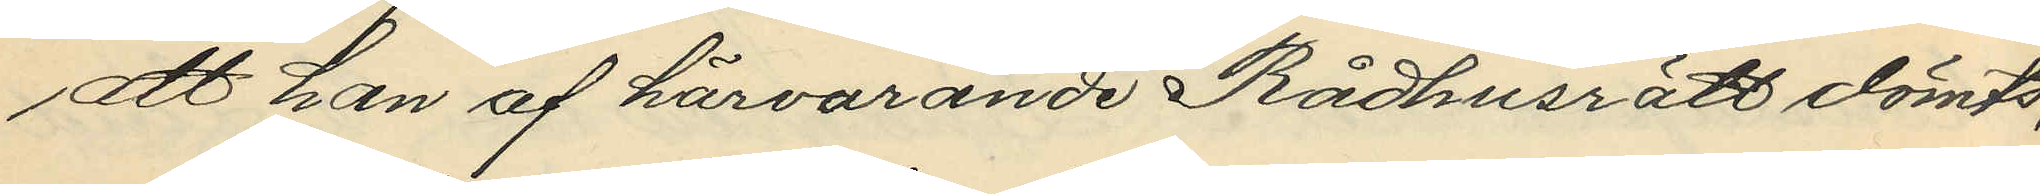att han af härvarande Rådhusrätt dömts;
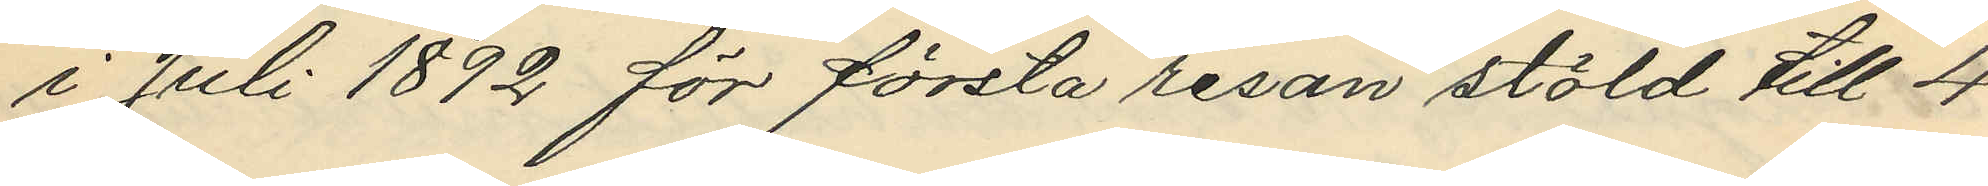i Juli 1892 för första resan stöld till 4
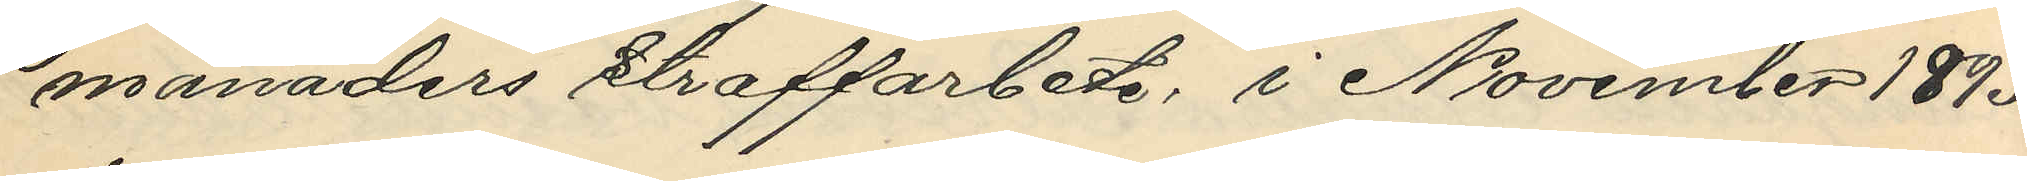månaders straffarbete, i November 1893
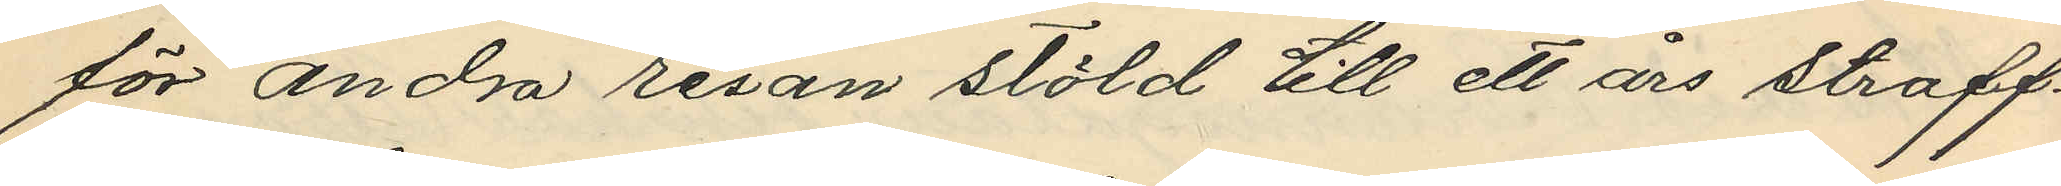för andra resan stöld till ett års straff¬
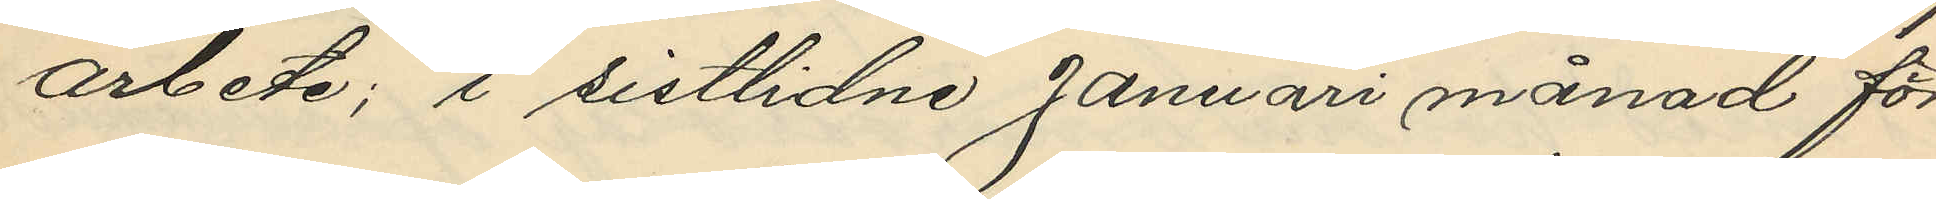arbete; i sistlidne Januari månad för
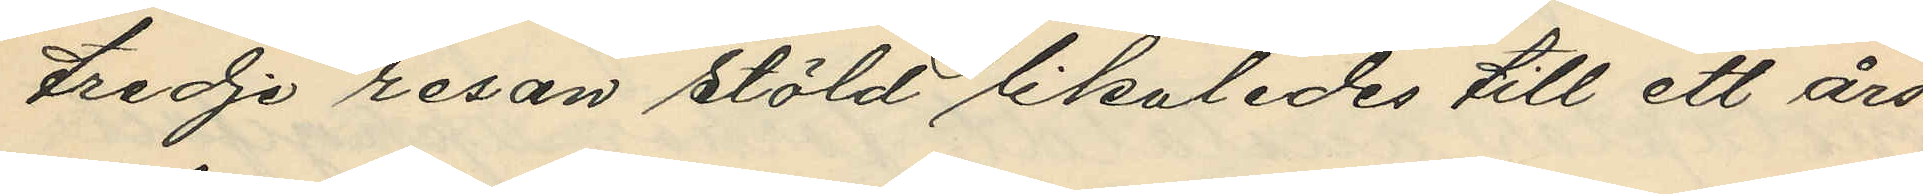tredje resan stöld likaledes till ett års
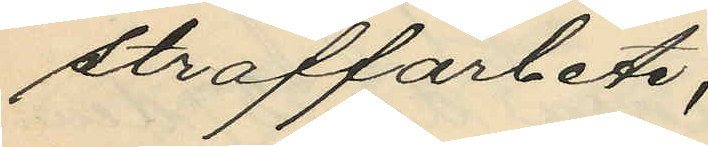straffarbete;
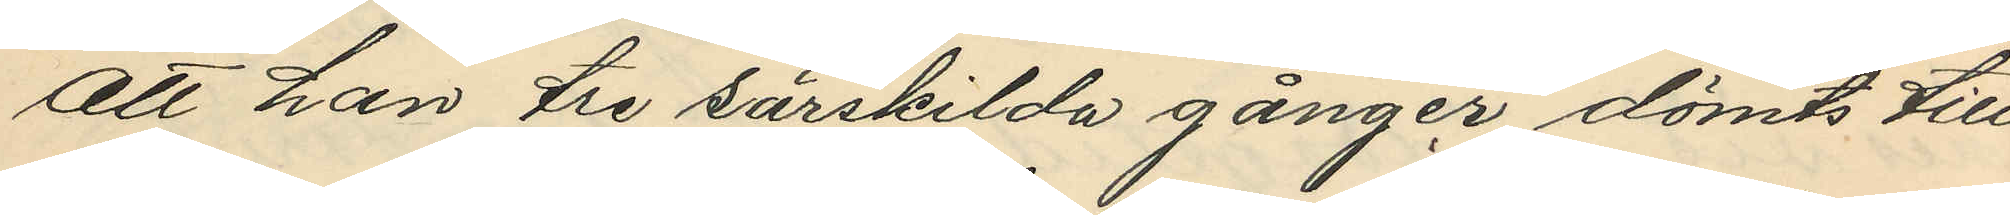att han tre särskilda gånger dömts till
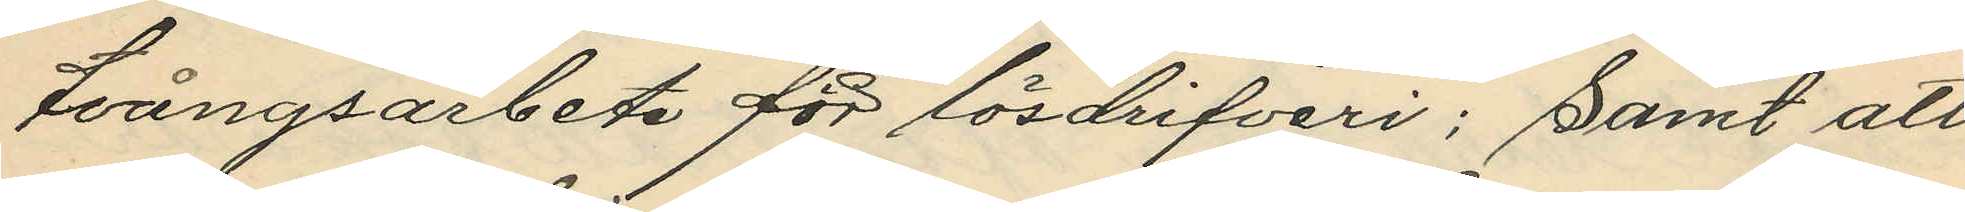tvångsarbete för lösdrifveri; samt att
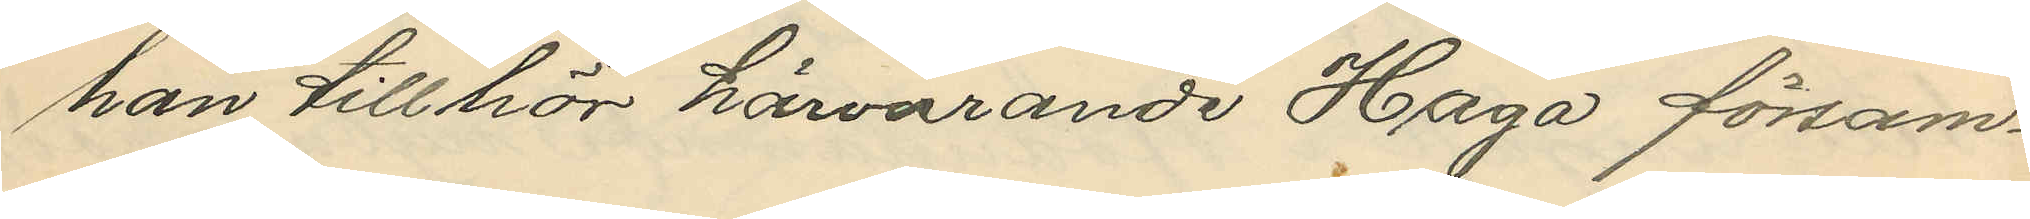han tillhör härvarande Haga försam¬
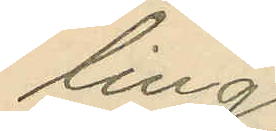ling
